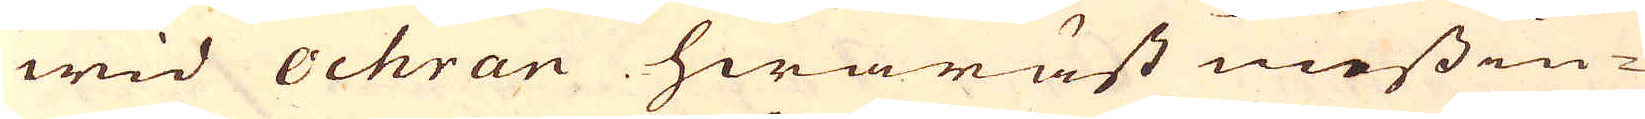wid Ochran hwaräst messin-
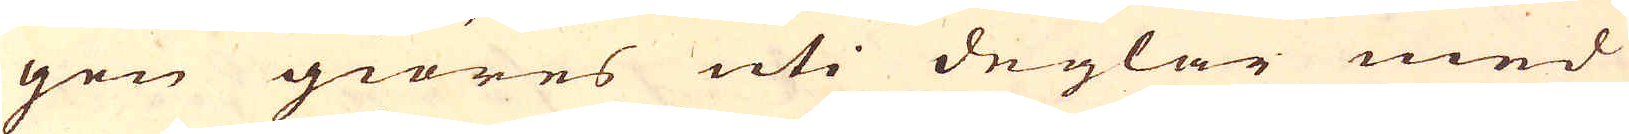gen giöres uti deglar med
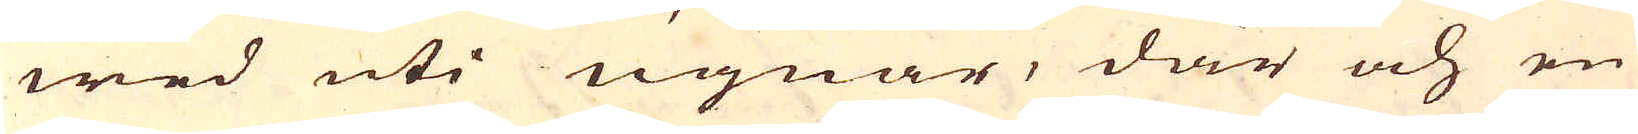wed uti ugnar, där och en
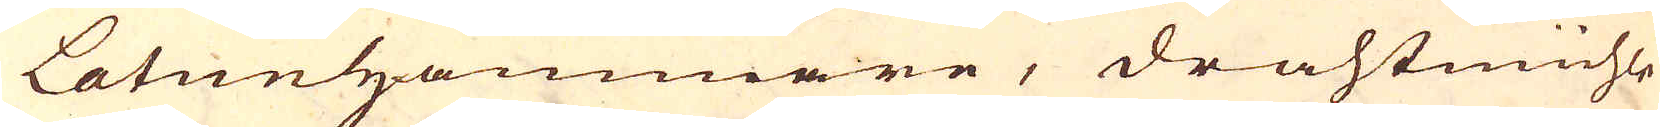Latunhammare, drahtmühle
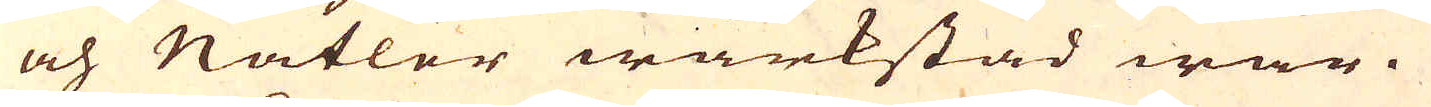och Nätler wärkstad war.
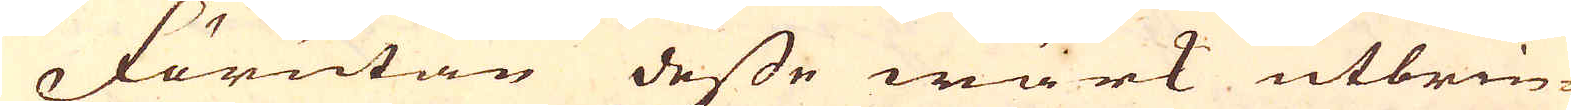Förutan desse wärk utbrin-
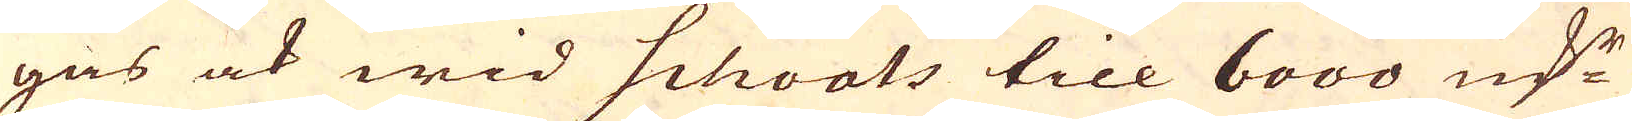gas ock wid Schvats till 6000 marker
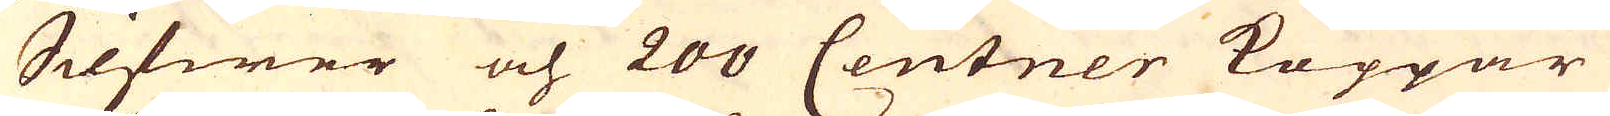Silfwer och 200 Centner Koppar
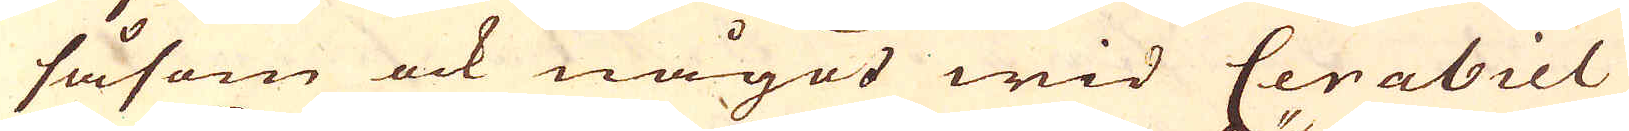såsom ock något wid Cerabiel
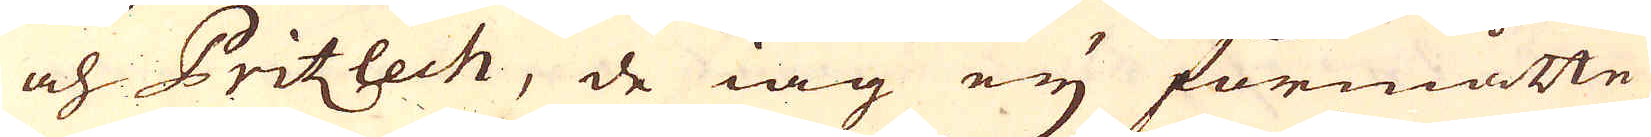och Pritzlech, de iag ey förmåtte
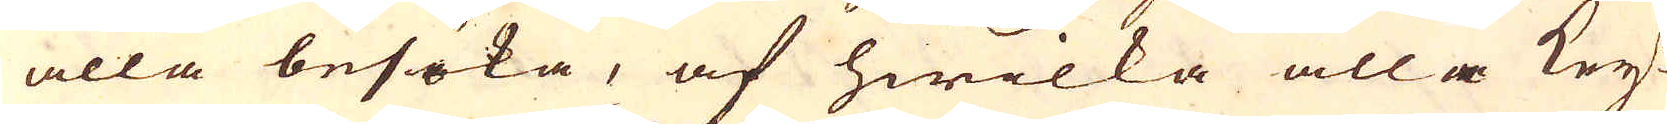alla besöka, af hwilka alla Key-
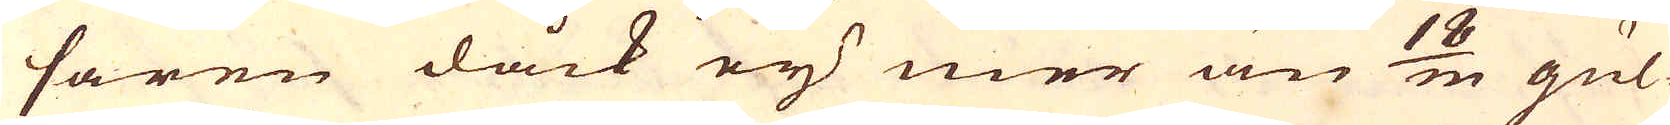saren dåck ey mer än 18/m gul-
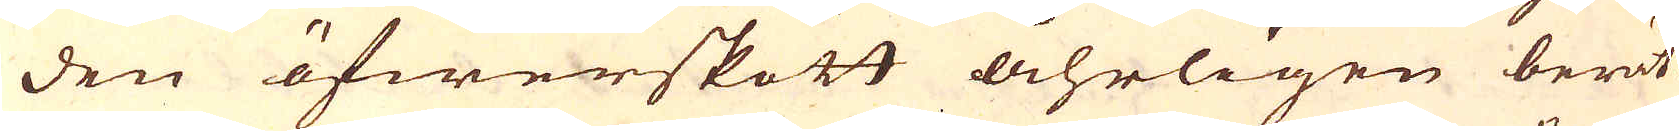den öfwerskott åhrligen berät-
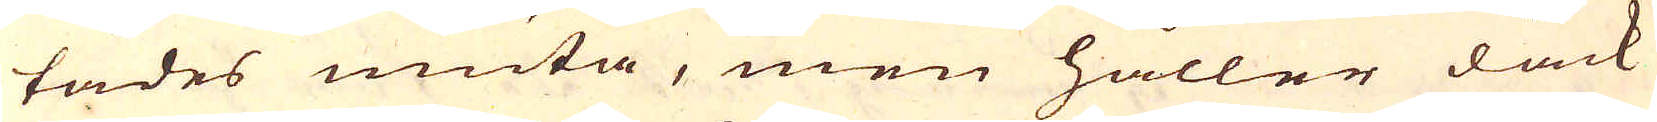tades niuta, men håller dåck
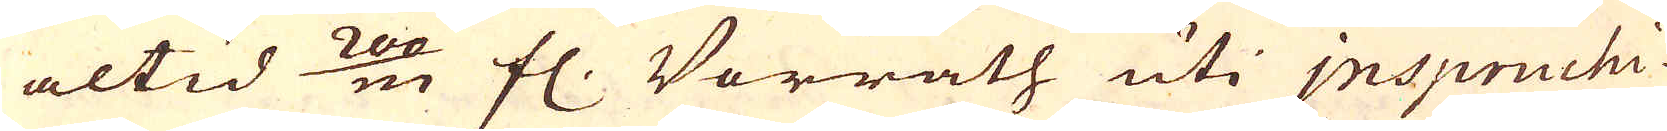altid 200/m fl. Vorrath uti Jnspruchi-
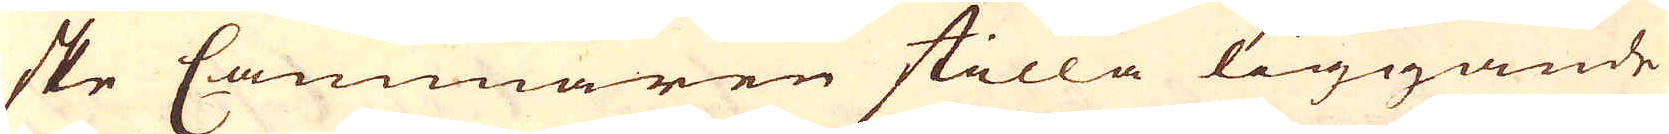ske Cammaren stilla liggande
